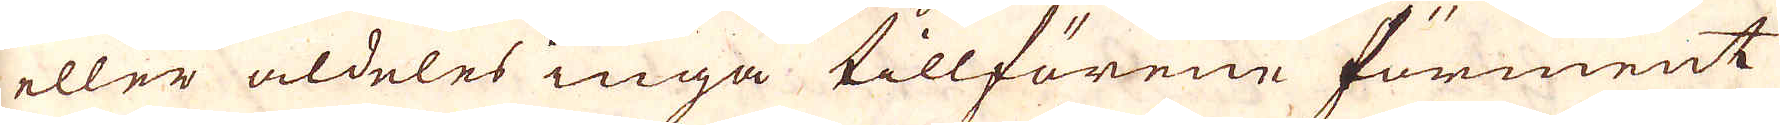eller aldeles inga tillförene förment
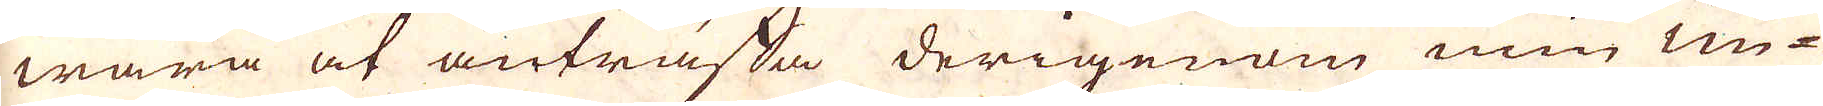wara at anträffa derigenom min un-
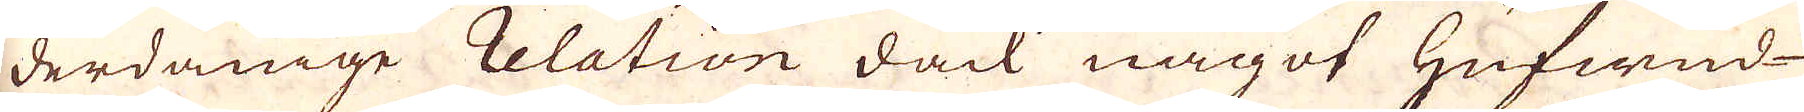derdånige relation dåck något Hufwud-
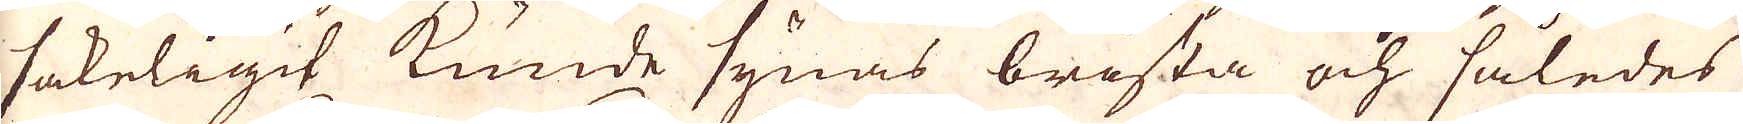sakeligit kunde synas brista och således
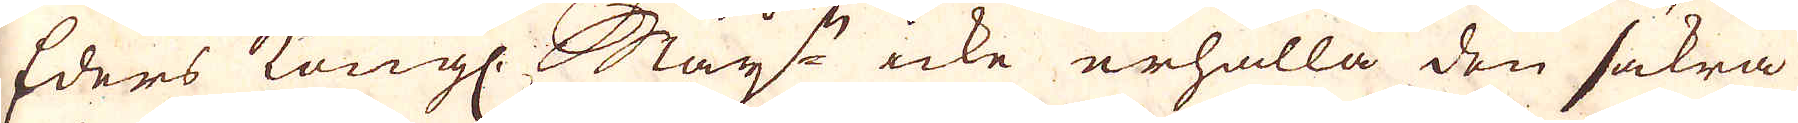Eders Kungl. May:ts icke erhåalla den äakra
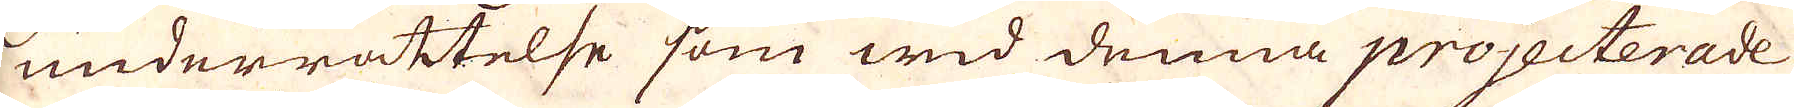underrättelse som wid denna projecterade
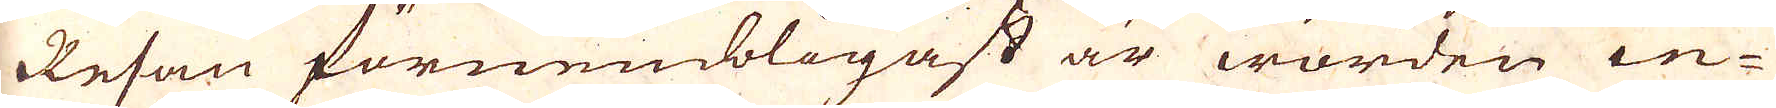Resan förnembligast är worden in-
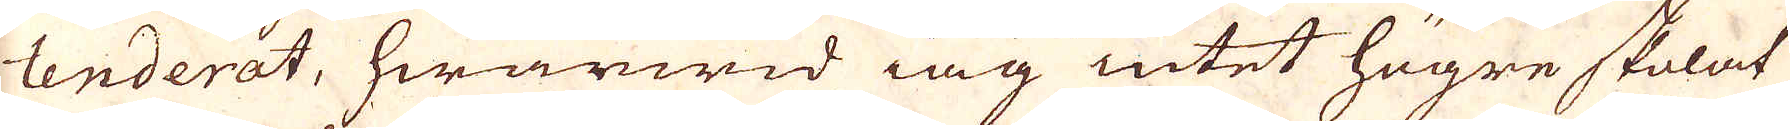tenderat, hwarwid iag intet högre skolat
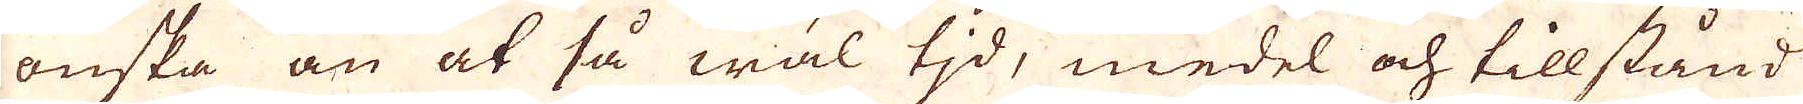önska än at så wäl tjd, medel och tillstånd
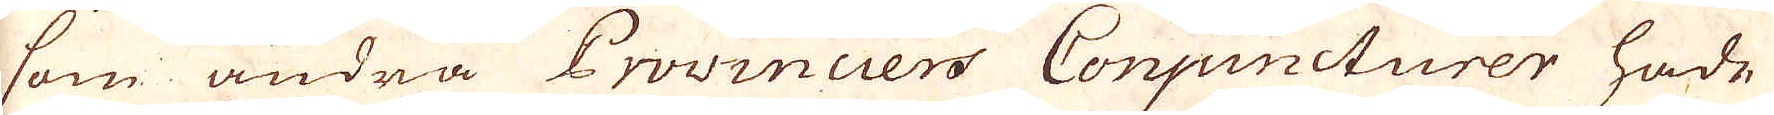som andra Provincers Conuncturer hade
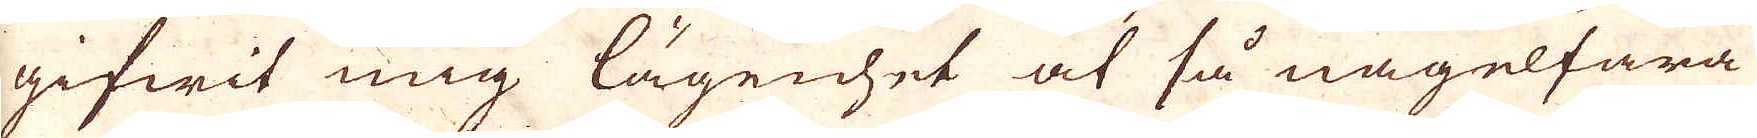gifwit mig lägenhet at så nagelfara
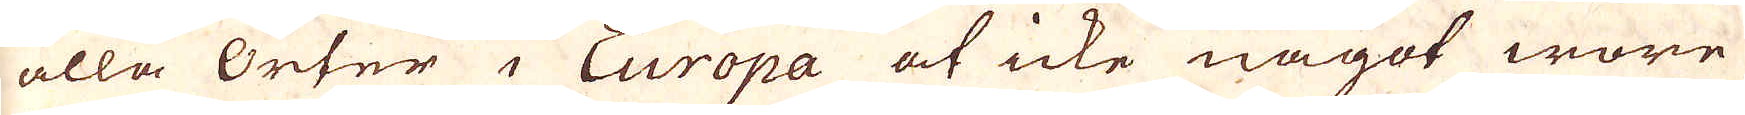alla Orter i Europa at icke något wore
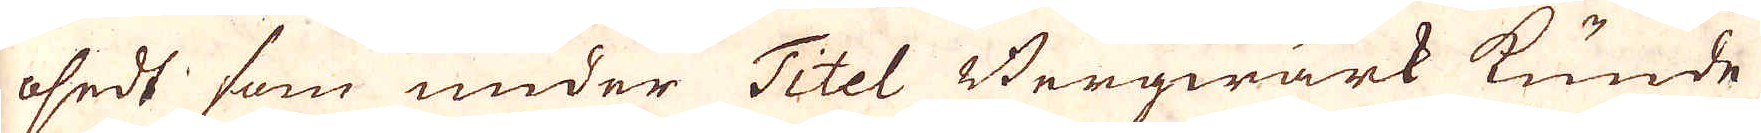osedt som under Titel Bergwärk kunde
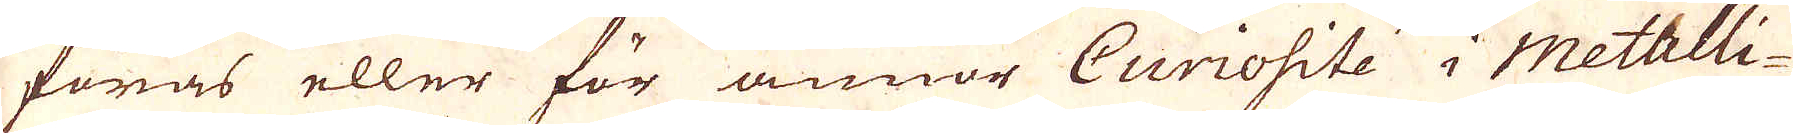föras eller för annan Curiosite i metalli-
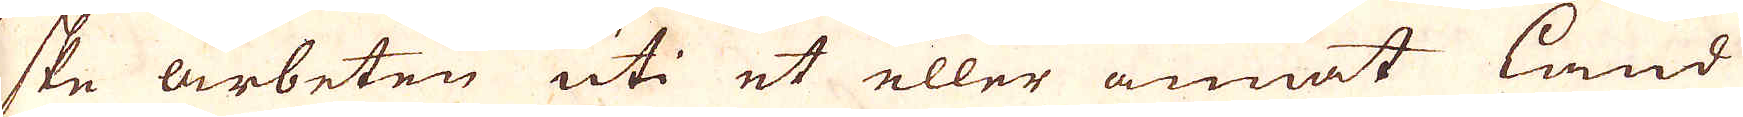ske arbeten uti et eller annat land
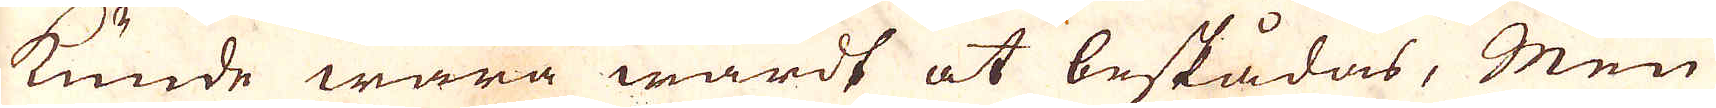kunde wara wårdt at beskådas, Men
